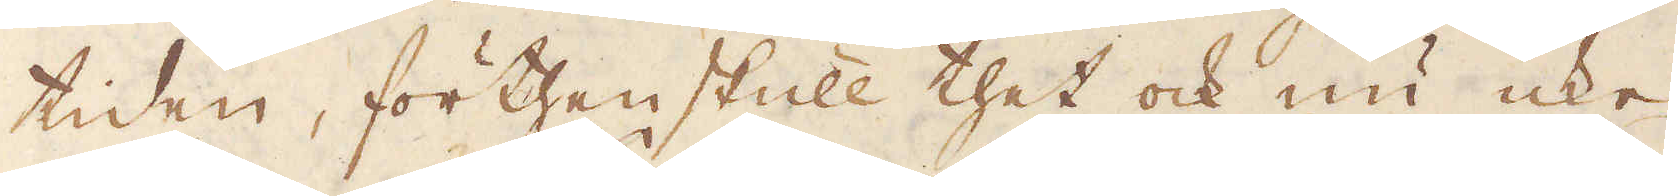tiden, förthenskull thet ock nu icke
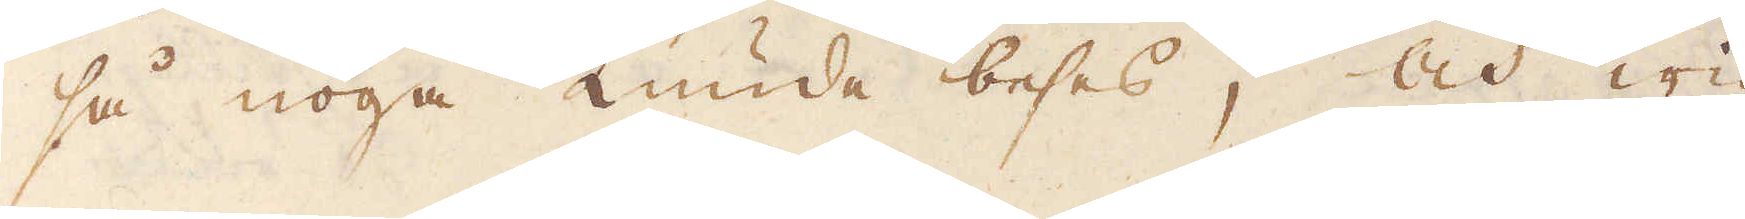så noga kunde beses, och wid
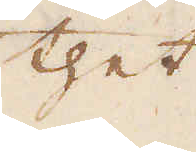thet
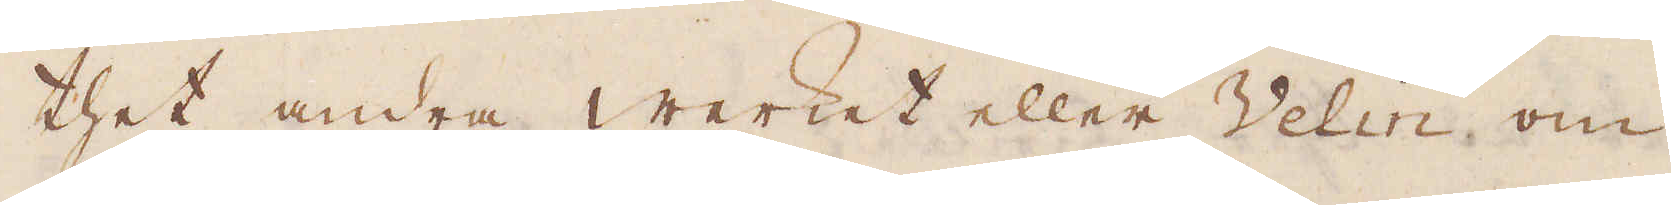thet andra werket eller Velin om
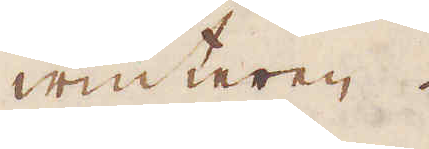winteren.
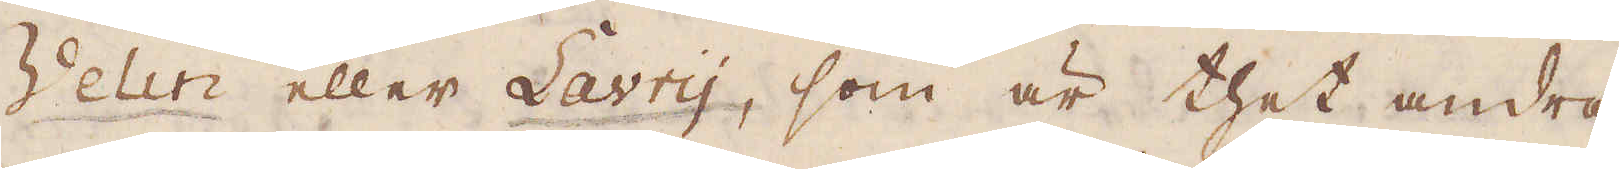Velin eller Lavry, som är thet andra
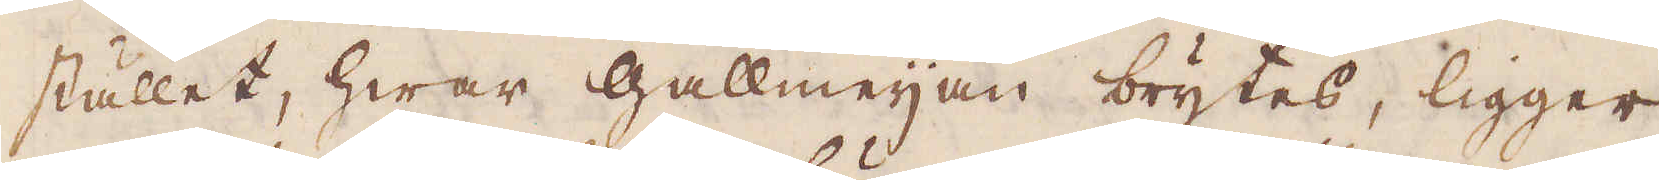stället, hwar Gallmeijan brytes, ligger
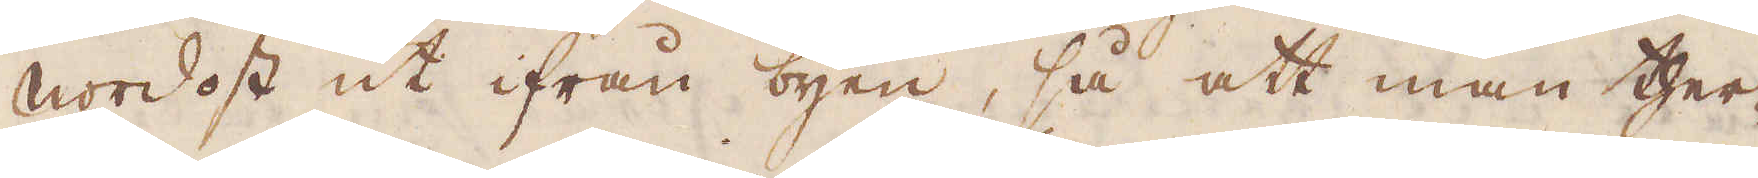nordost ut ifrån byen, så att man ther-
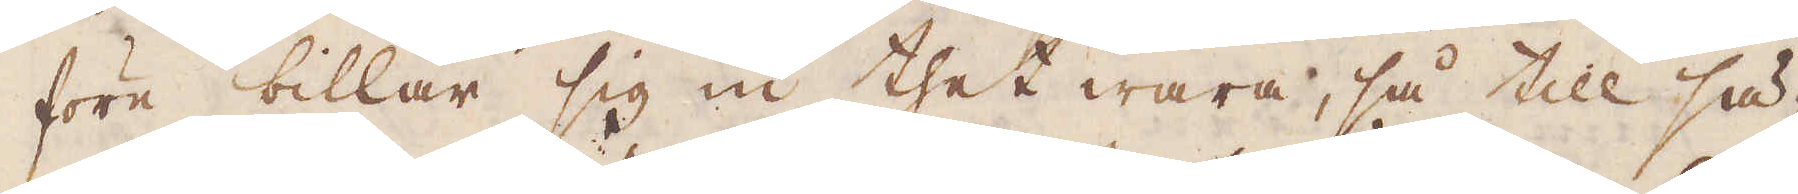före billar sig in thet wara, så till sä-
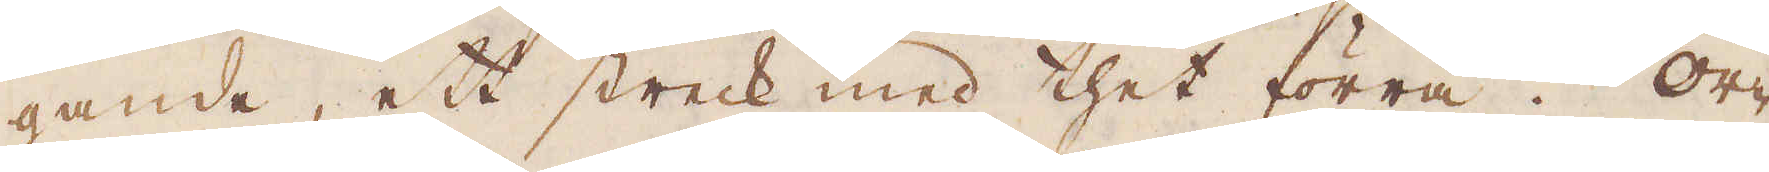gande, att streck med thet förra. Or-
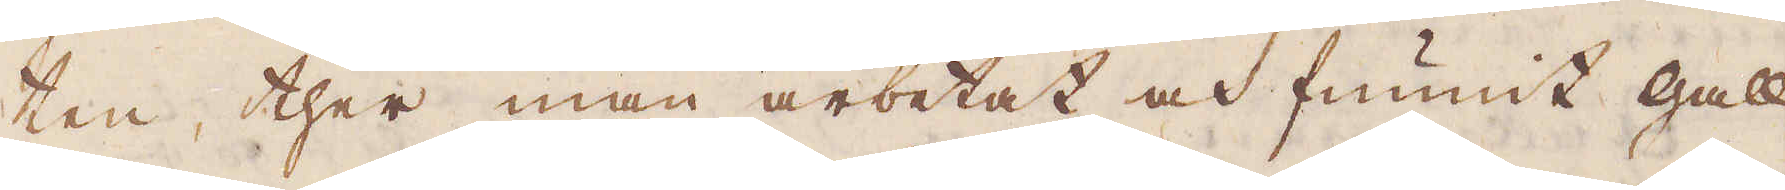ten ther ther man arbetet och funnit gall-
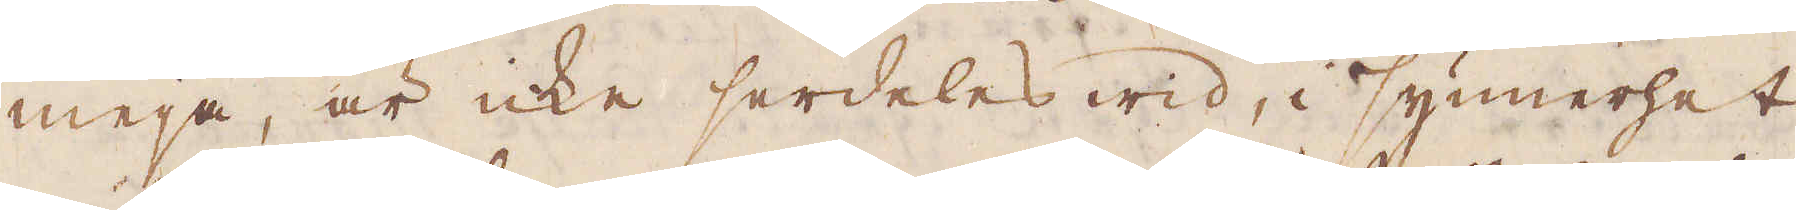meja, är icke serdeles wid, i synnerhet
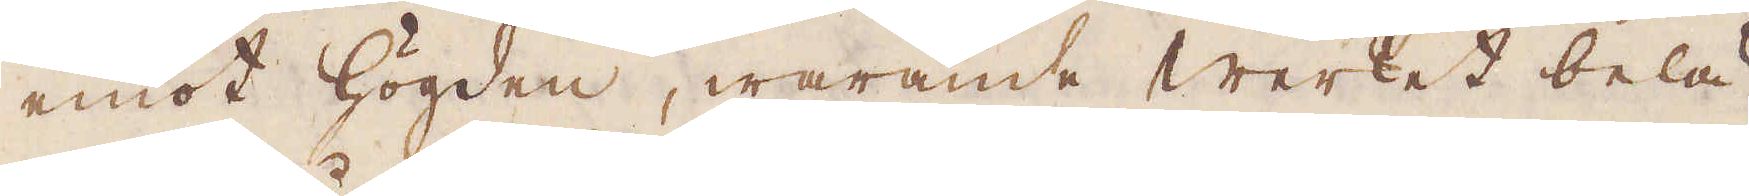emot högden, warande werket belä-
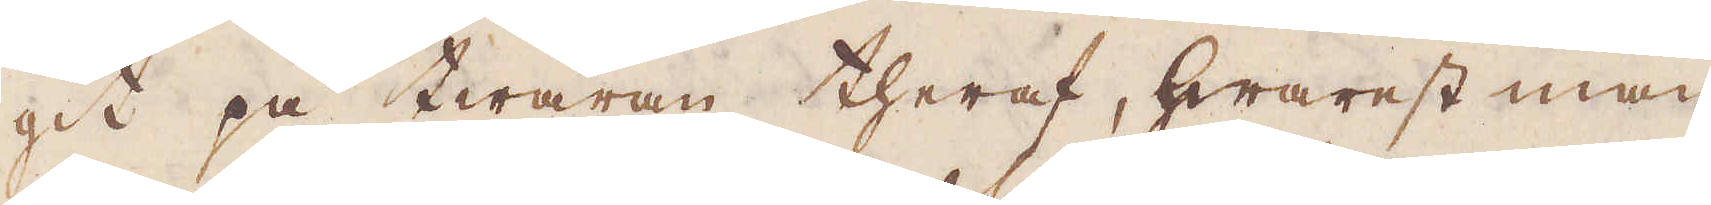git på twäran theraf, hwarest man
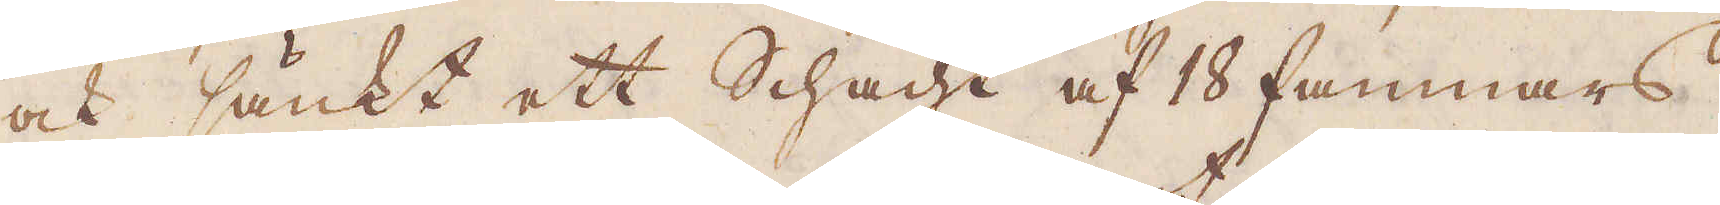cosk sänkt ett Schacht af 18 famnars
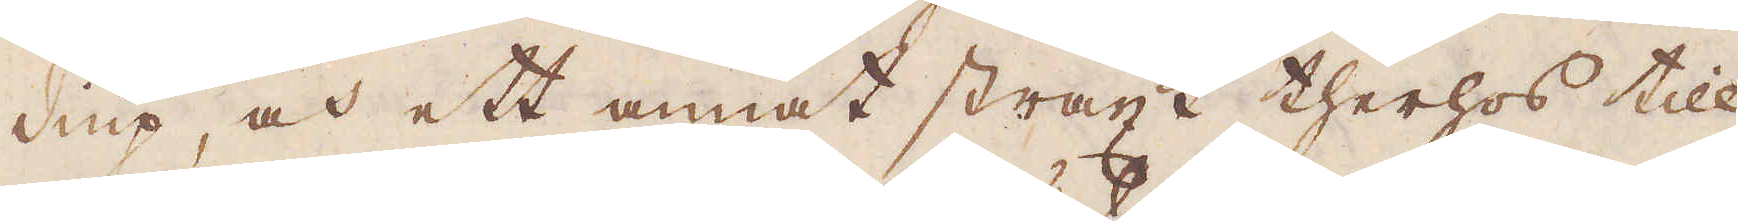diup, och ett annat straxt therhos till
